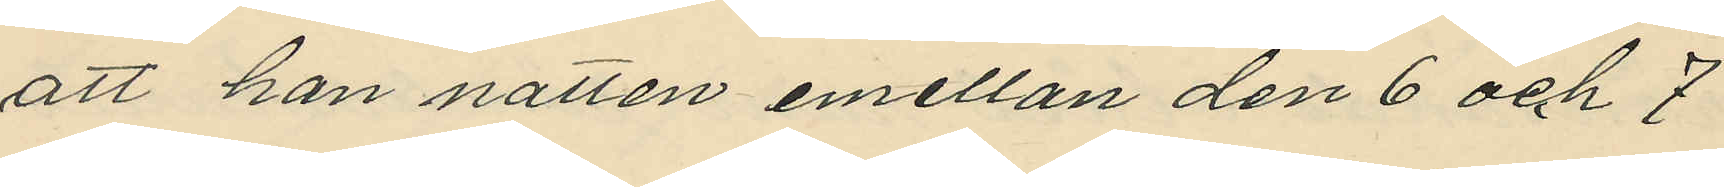att han natten emellan den 6 och 7
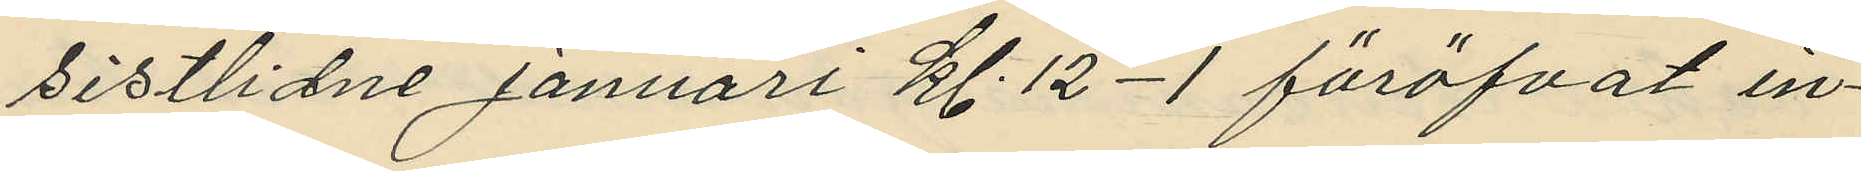sistlidne Januari kl. 12-1 föröfvat in¬
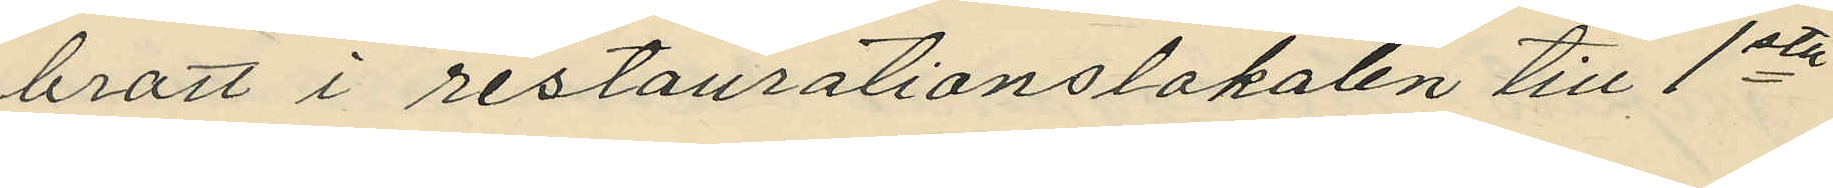brott i restaurationslokalen till 1sta
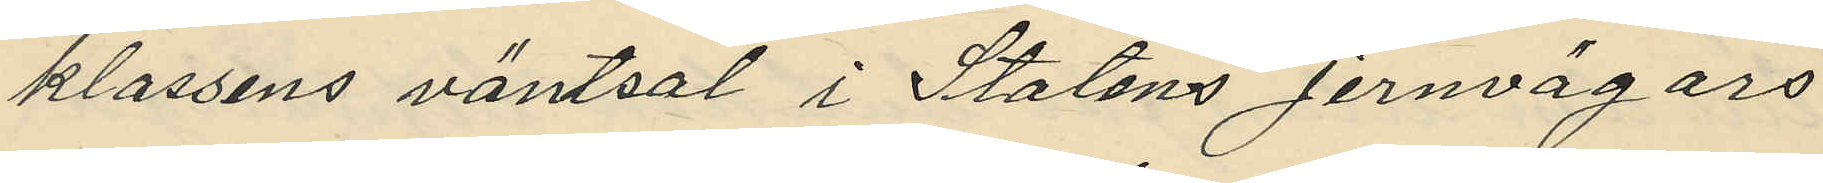klassens väntsal i Statens Jernvägars
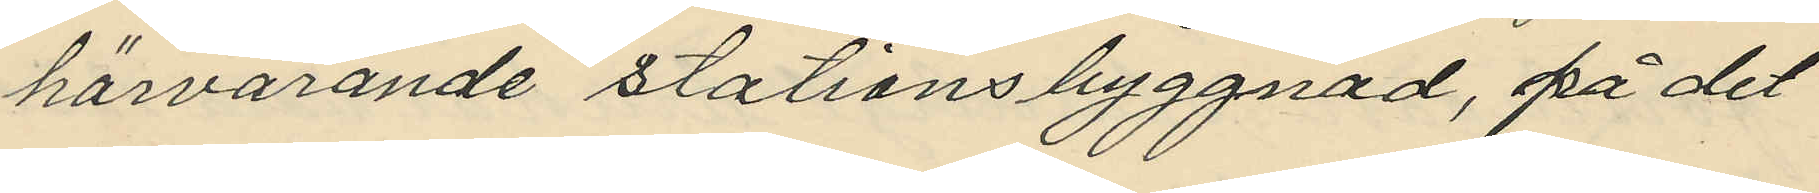härvarande stationsbyggnad, på det
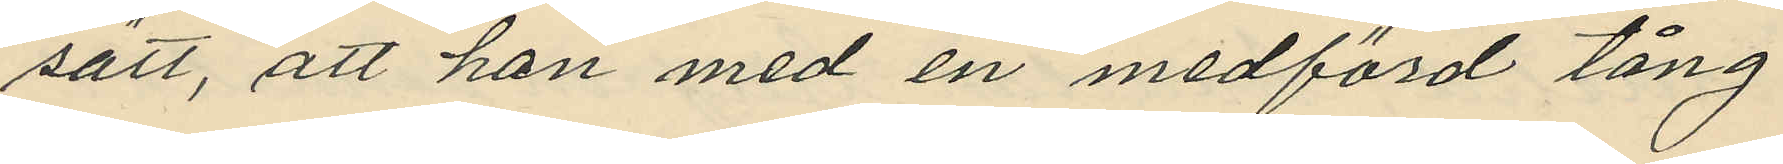sätt, att han med en medförd tång
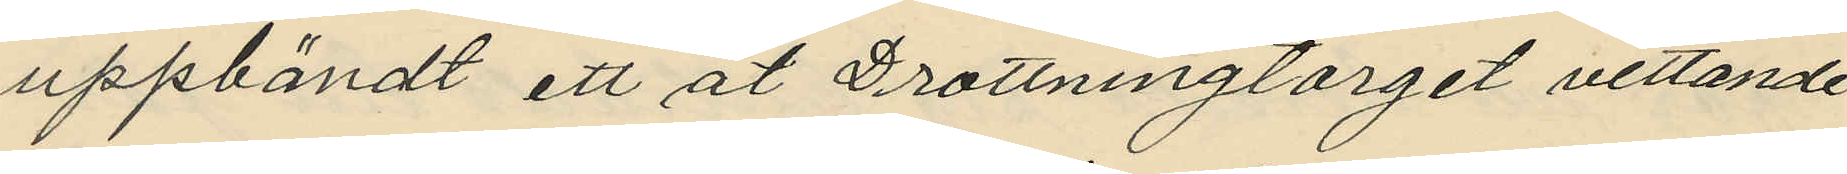uppbändt ett åt Drottningtorget vettande
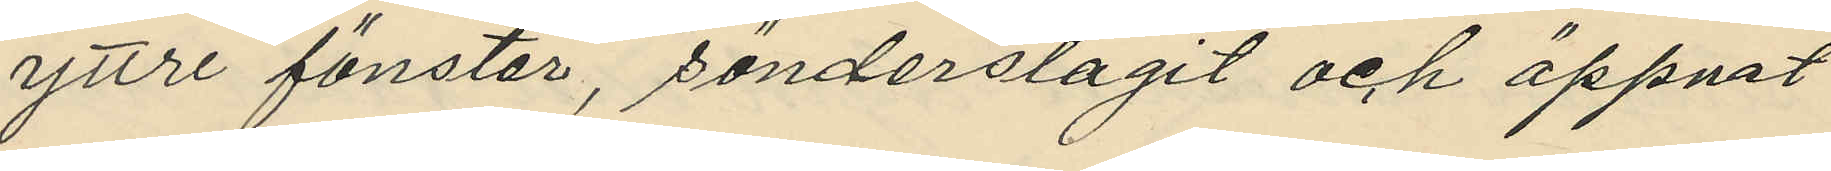yttre fönster, sönderslagit och öppnat
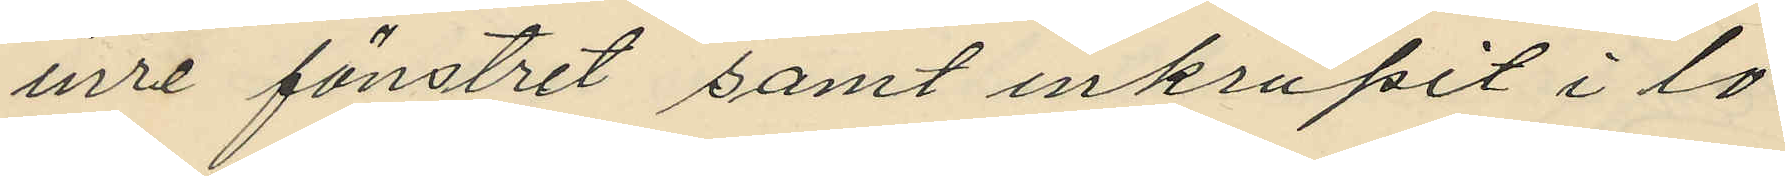inre fönstret samt inkrupit i lo¬
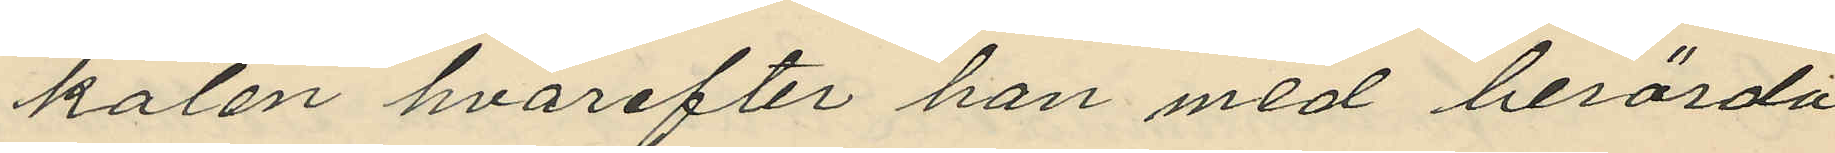kalen hvarefter han med berörda
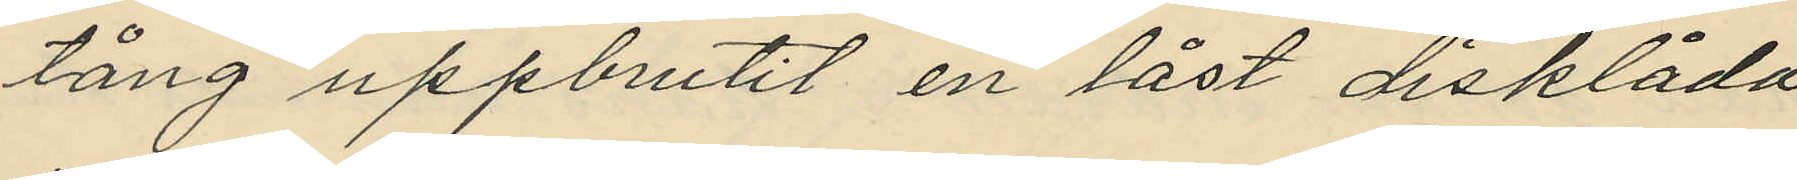tång uppbrutit en låst disklåda
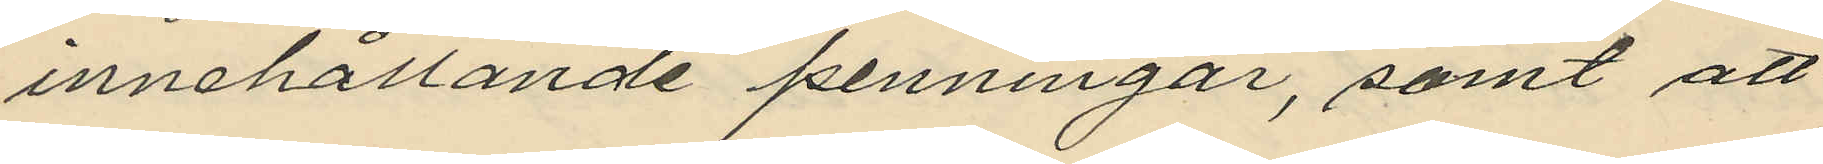innehållande penningar, samt att
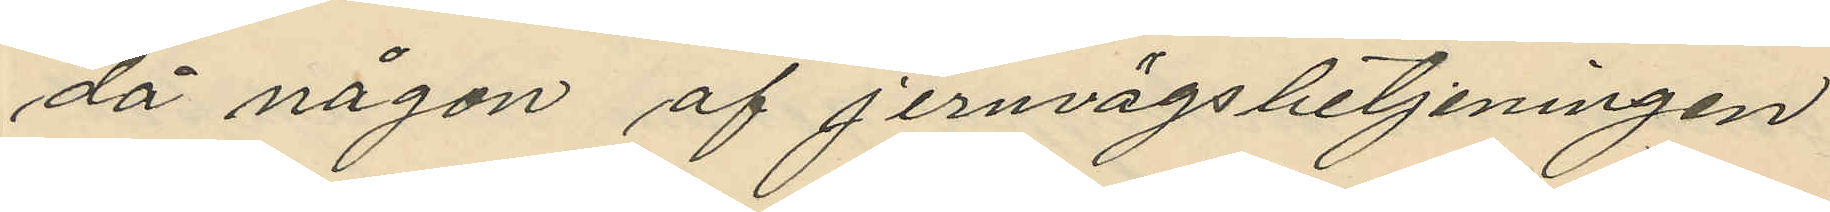då någon af Jernvägsbetjeningen
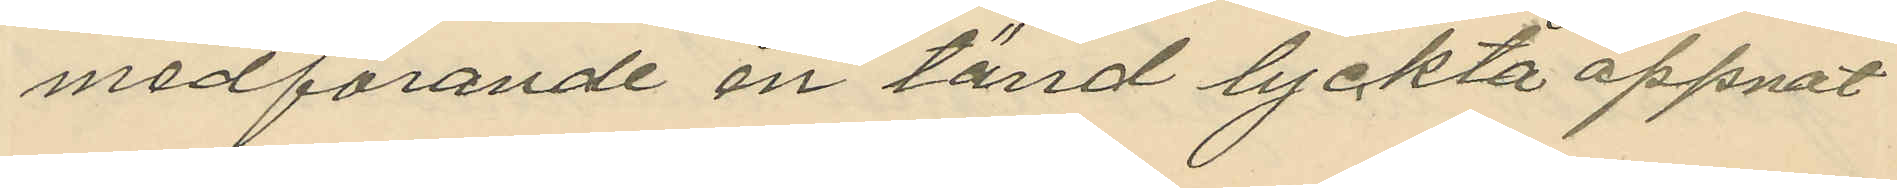medförande en tänd lyckta öppnat
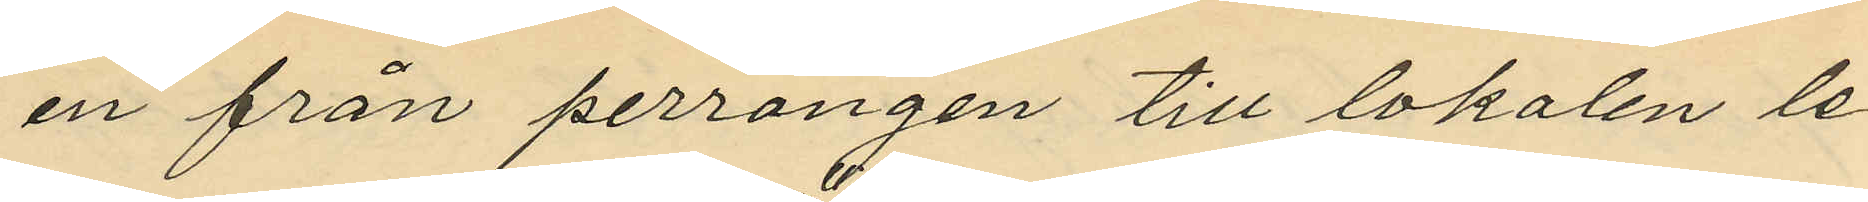en från perrongen till lokalen le¬
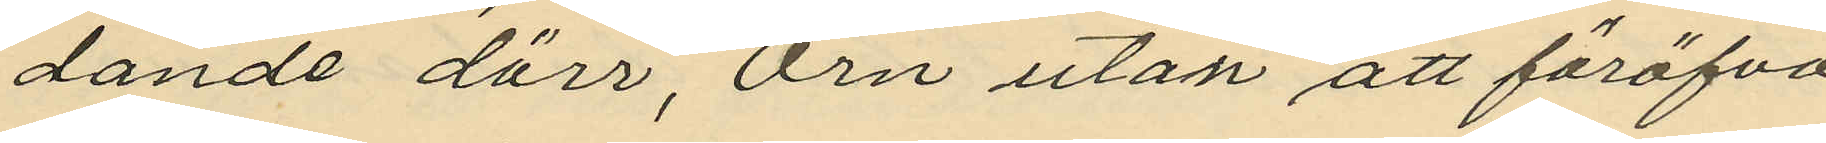dande dörr, Örn utan att föröfva
